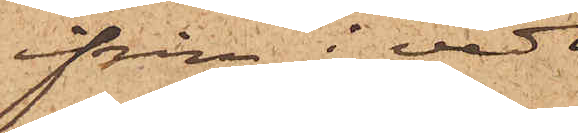ifrån i ved¬
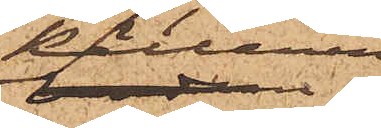källaren
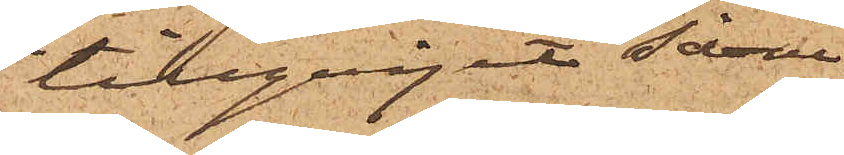tillgripit såväl
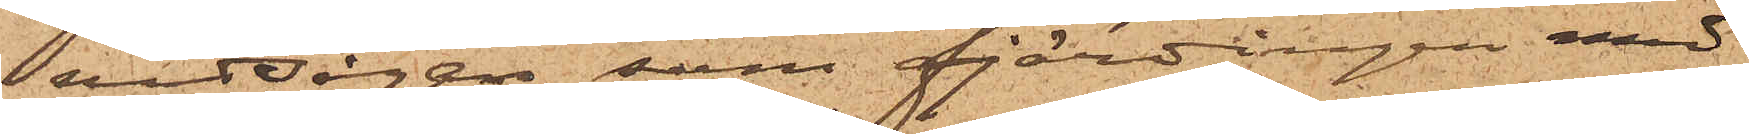vedsågen som fjärdingen med
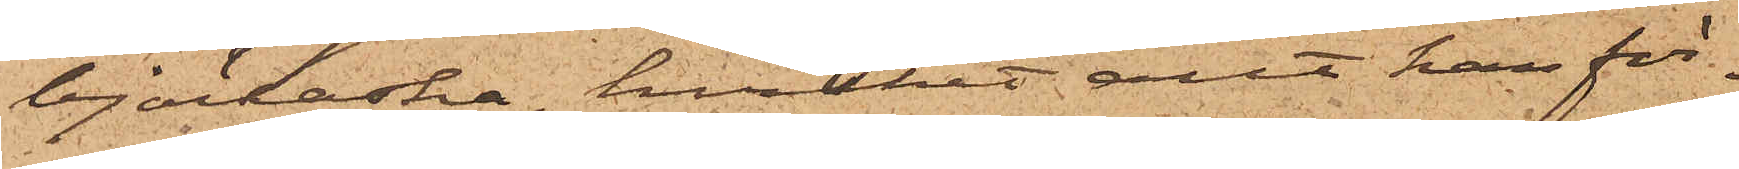björkaska, hvilket allt han för¬
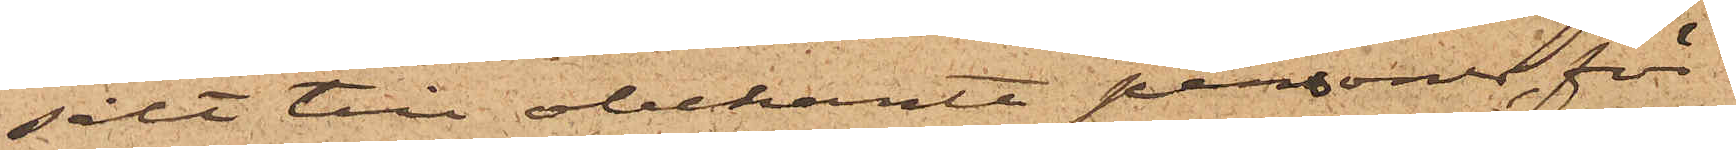sålt till obekante personer, för
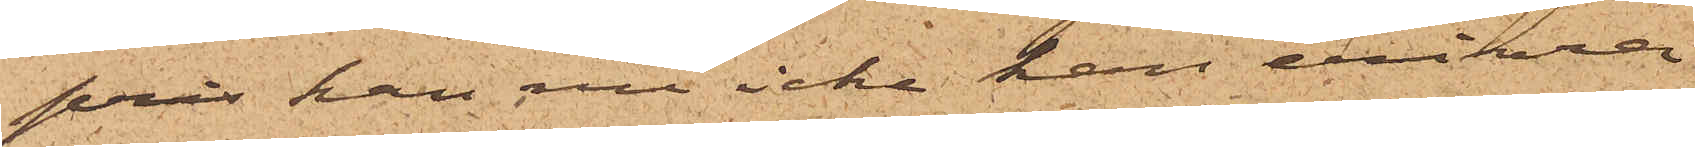pris han nu icke kan erinra
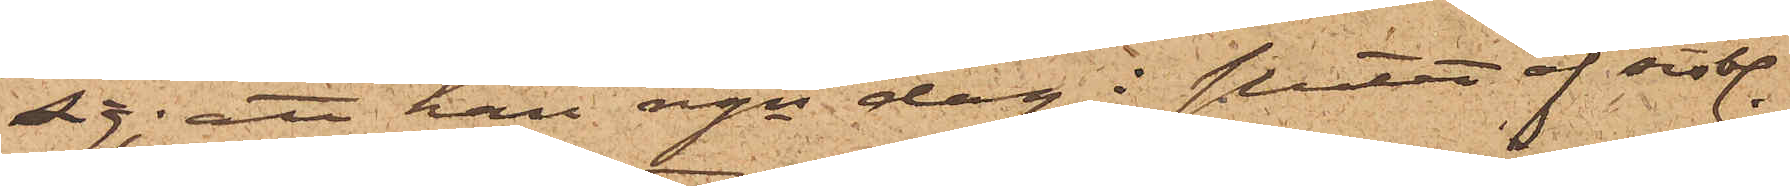sig; att han ngn dag i slutet af sistl.
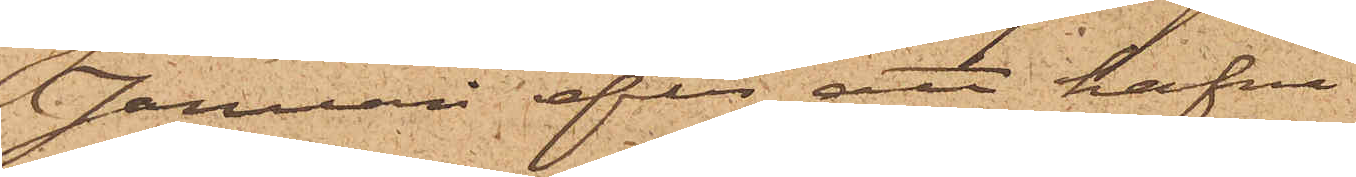Januari efter att hafva
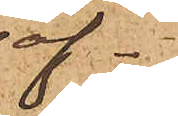af¬
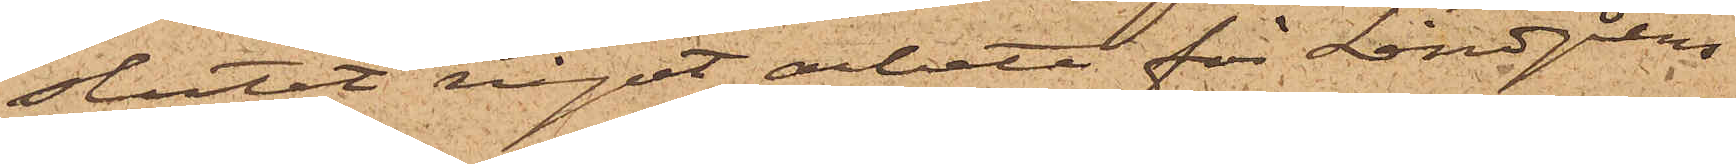slutat något arbete för Lindgrens
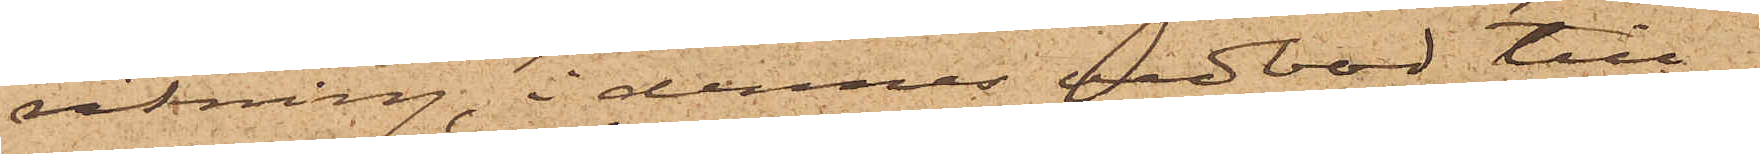räkning, i dennes vedbod till¬
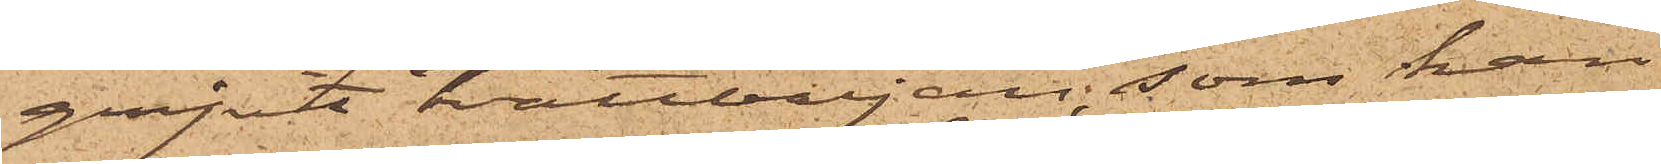gripit tvättbaljan, som han
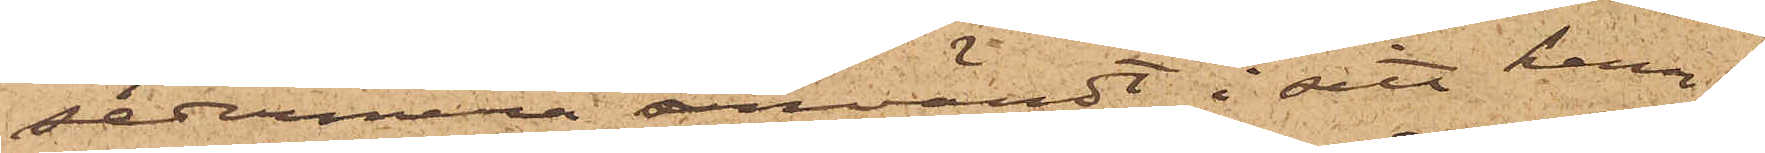sedermera användt i sitt hem;
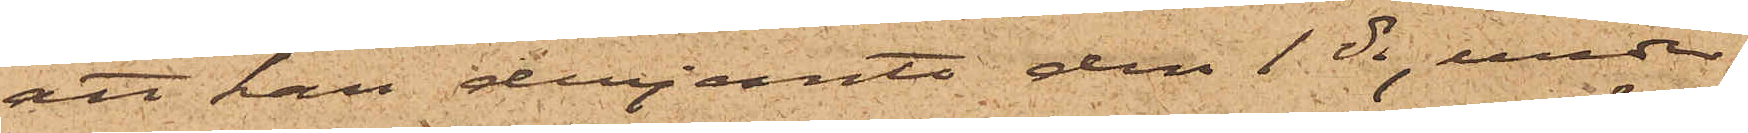att han derjemte den 1 ds, under
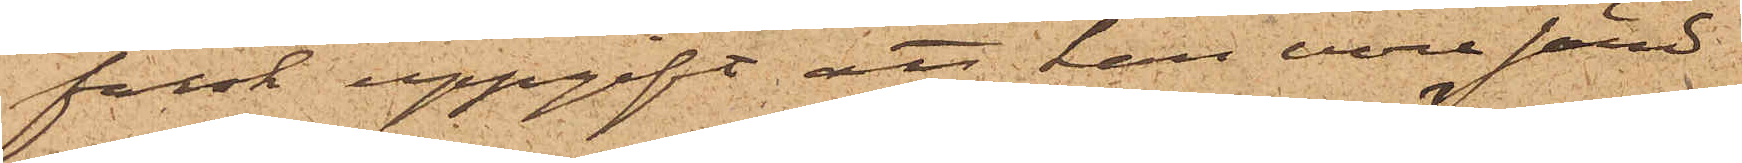falsk uppgift att han vore sänd
